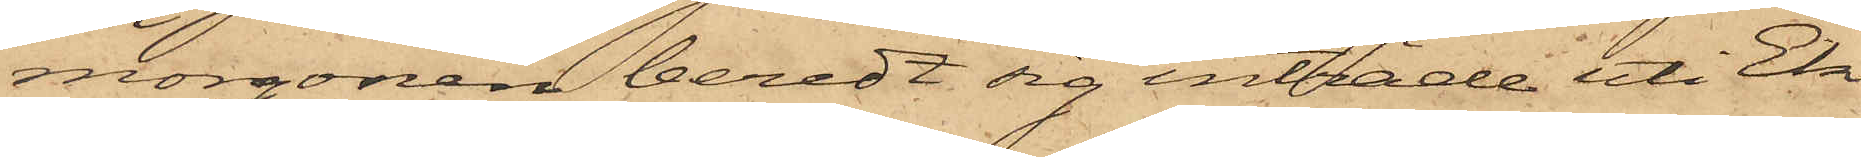morgonen beredt sig inträde uti Ek¬
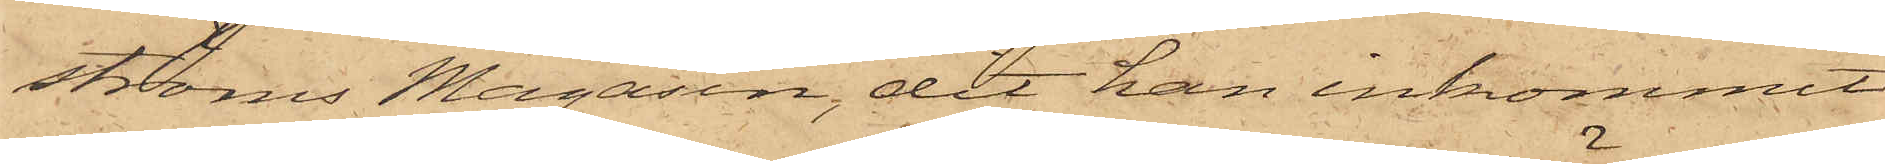ströms Magasin, dit han inkommit
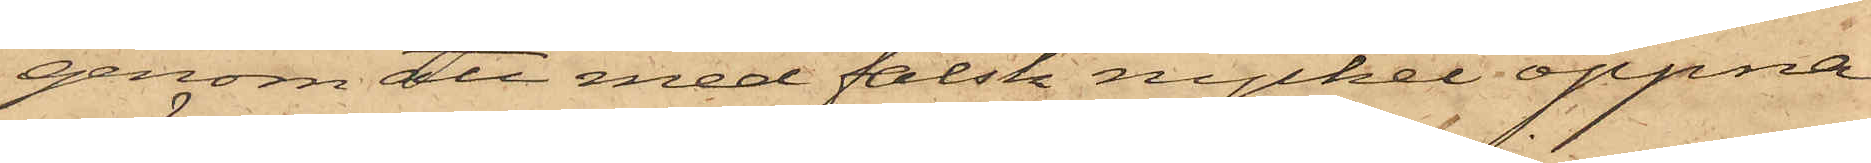genom att med falsk nyckel öppna
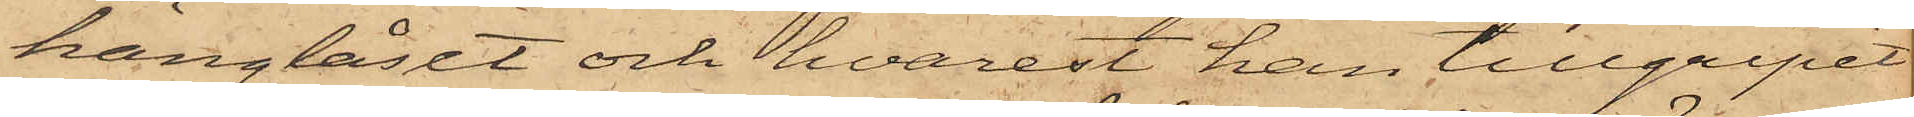hänglåset och hvarest han tillgripit
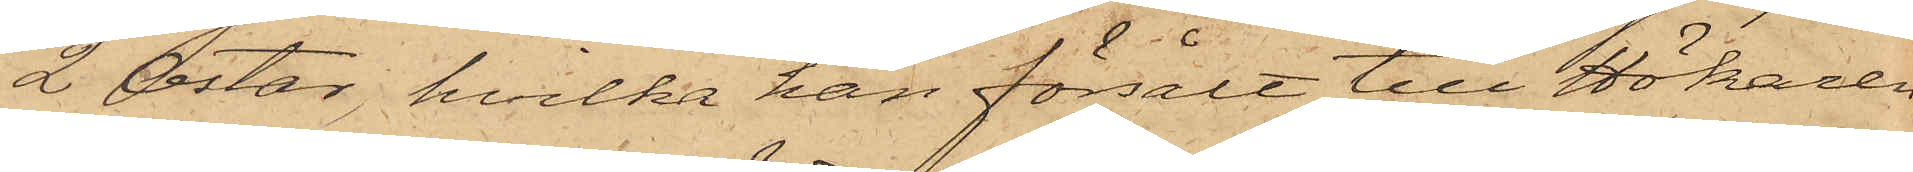2 ostar, hvilka han försålt till Hökaren
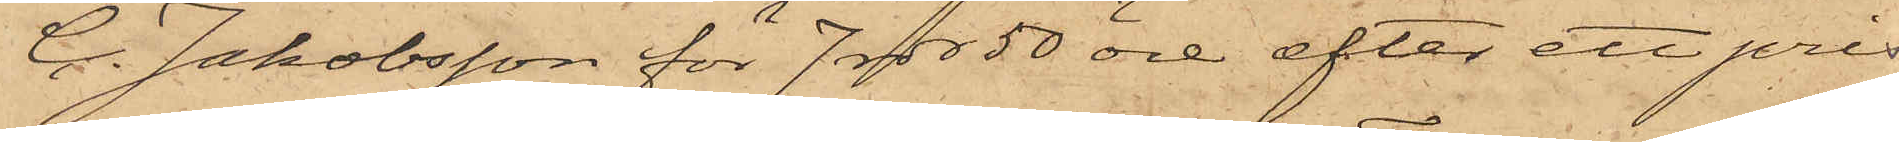C. Jakobsson för 7 rdr 50 öre, efter ett pris
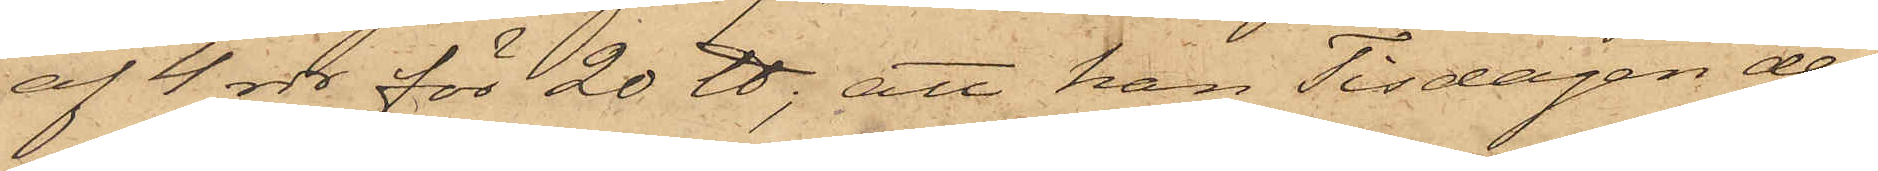af 4 rdr för 20 ℔; att han Tisdagen den
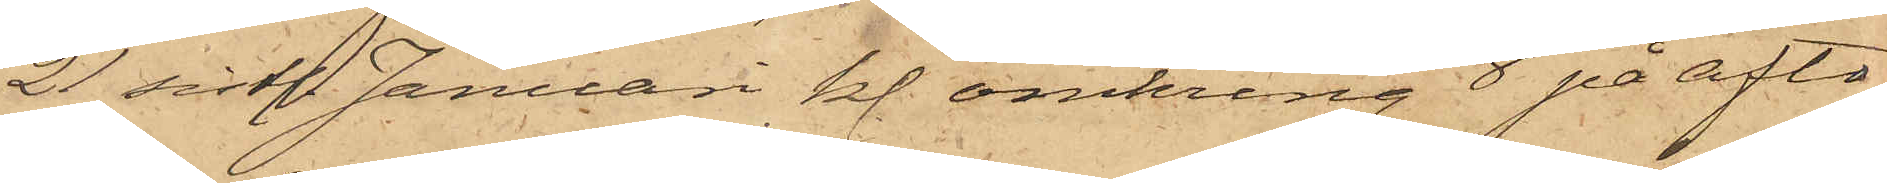21 sist. Januari kl. omkring 8 på afto¬
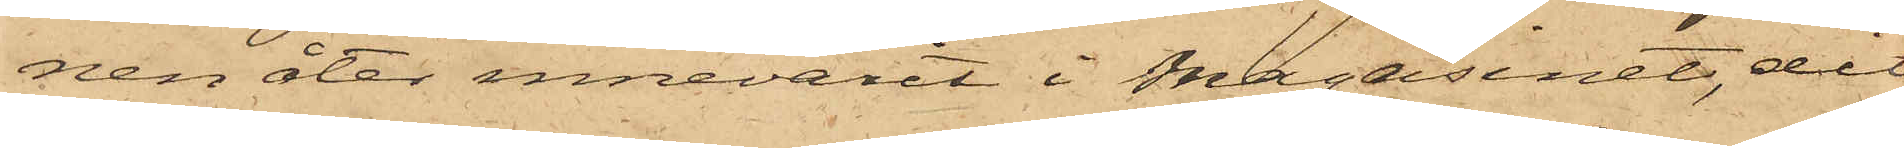nen åter innevarit i Magasinet, dit
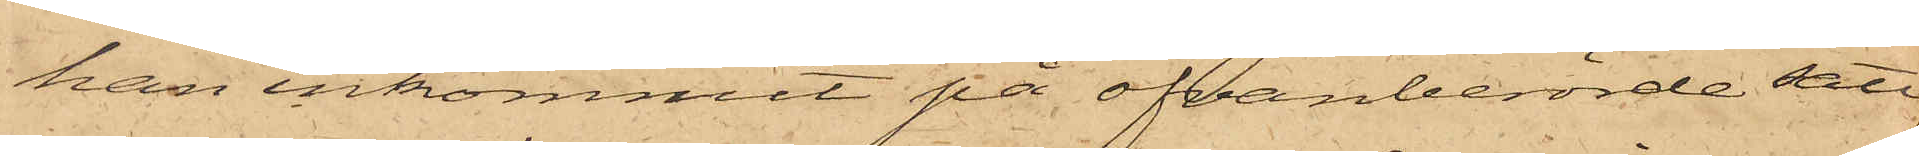han inkommit på ofvanberörde sätt,
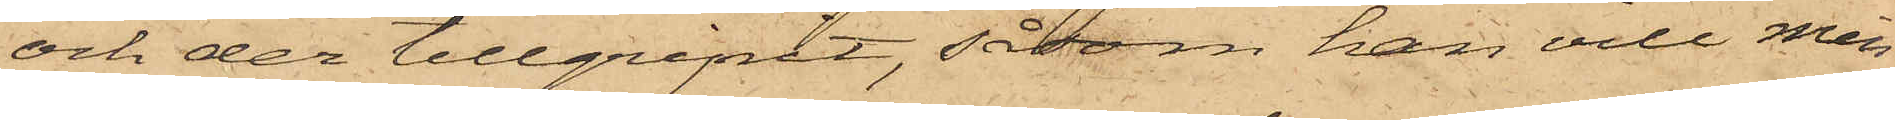och der tillgripit, såsom han vill min¬
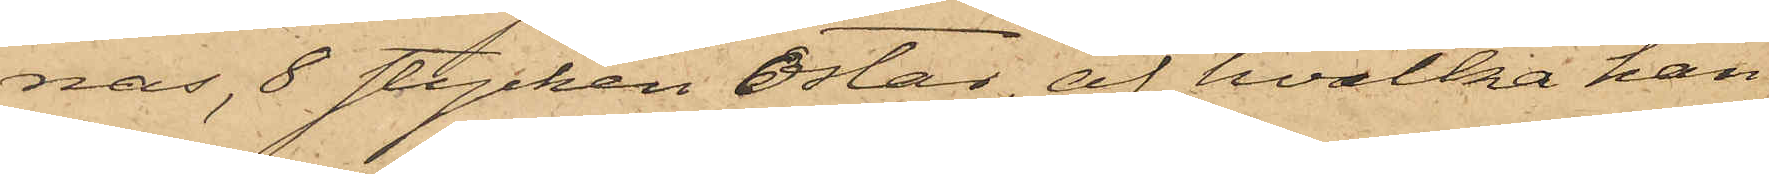nas, 8 stycken ostar, af hvilka han
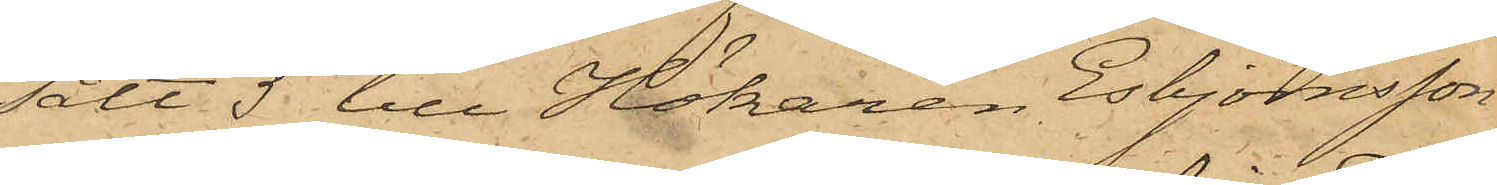sålt 5 till Hökaren Esbjörnsson
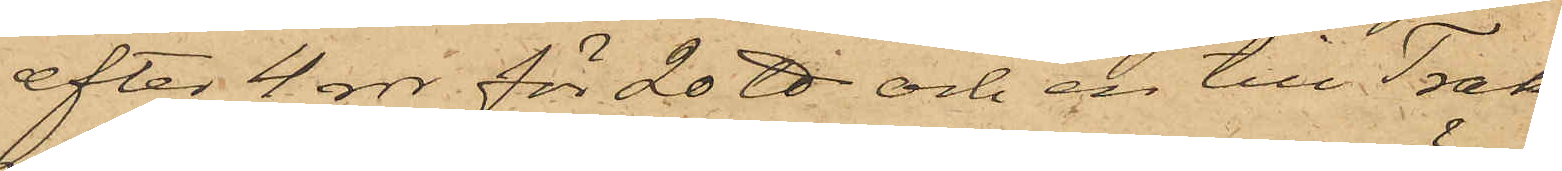efter 4 rdr för 20 ℔ och en till Trak¬
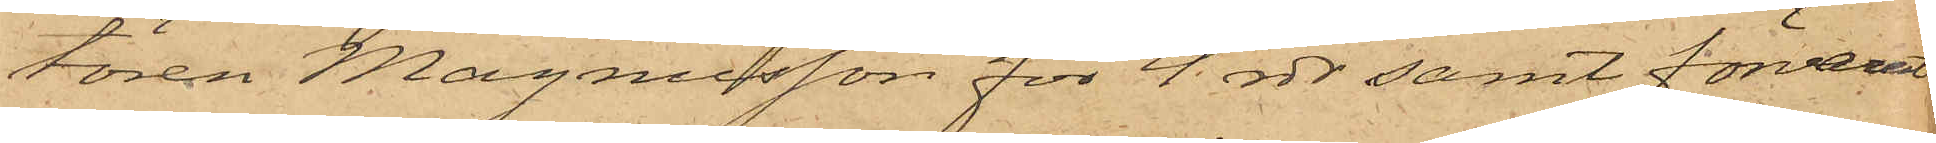tören Magnusson för 4 rdr samt förvarat
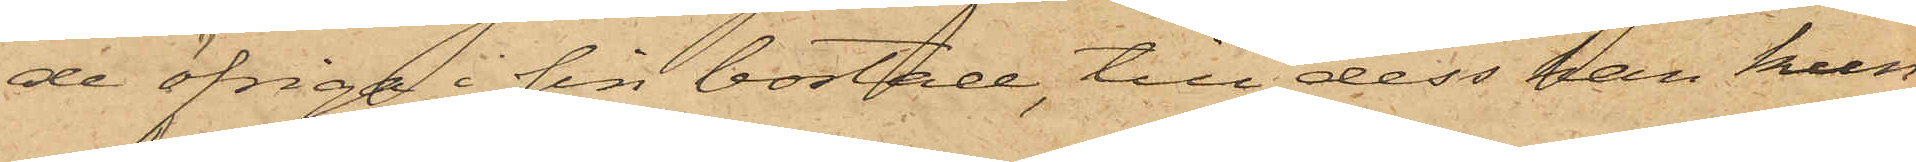de öfriga i sin bostad till dess han kun¬
